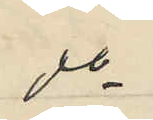do
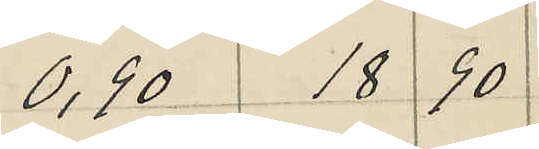0,90 18 90
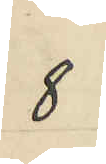8
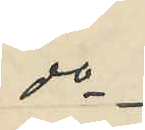do
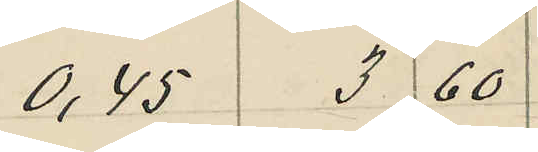0,45 3 60
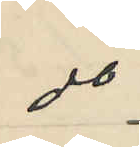do
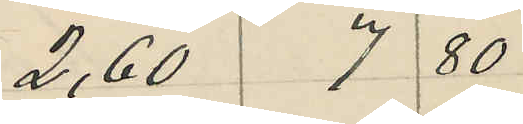2,60 7 80
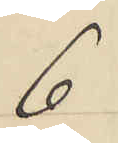6
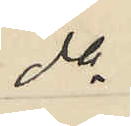do
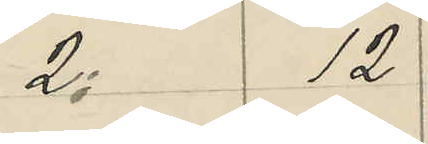2 12
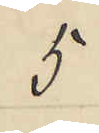5
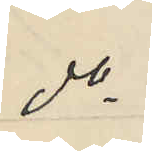do
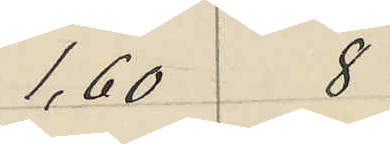1,60 8
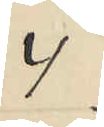4
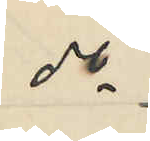do
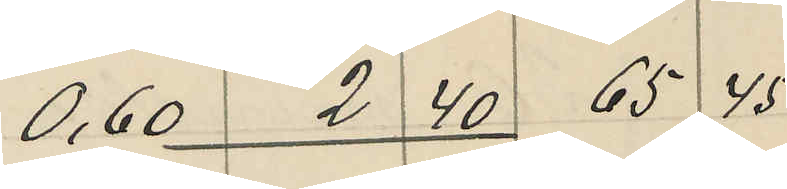0,60 2 40 65 45
